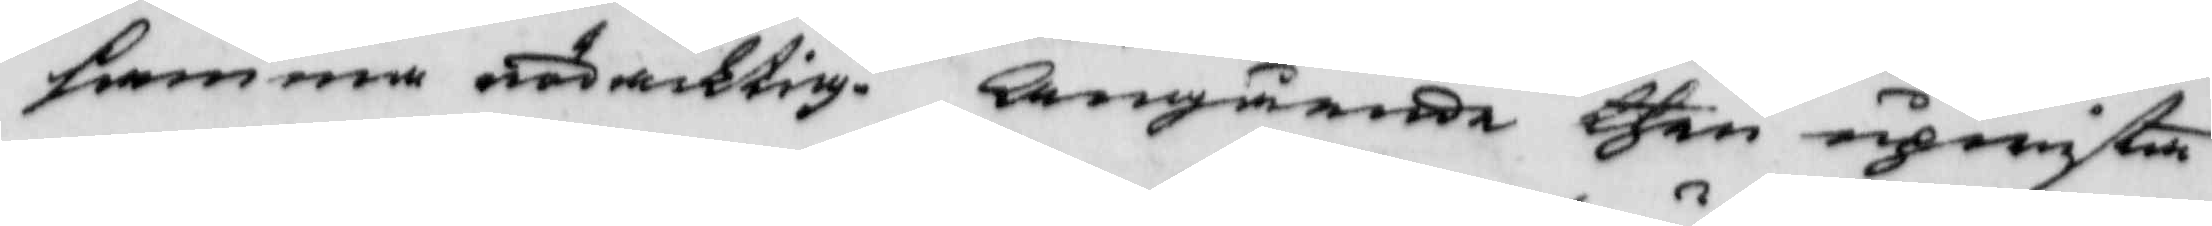samma rödacktig, Angående then upwiste
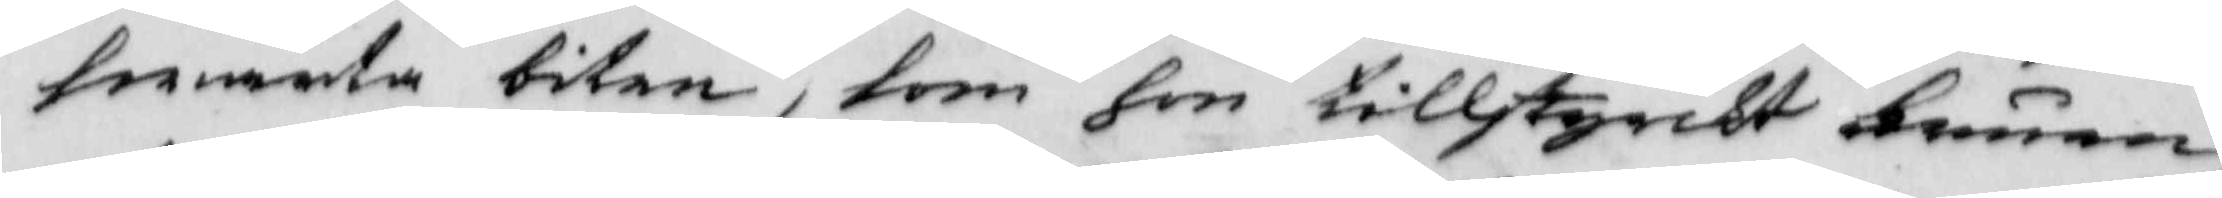swarta biten, som hon tillstyrkt Fruen,
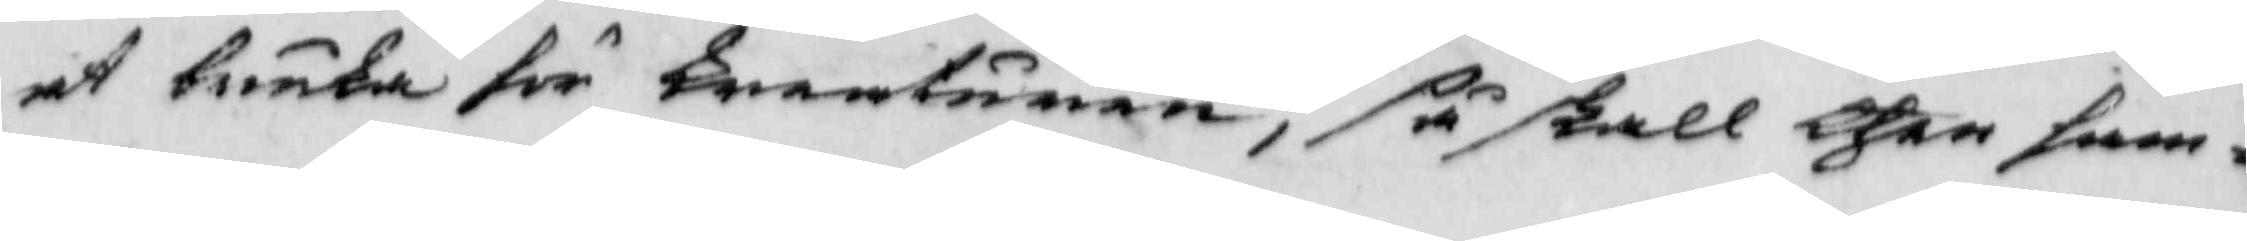at bruka för kreaturen, så skall then sam¬
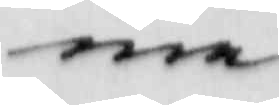ma
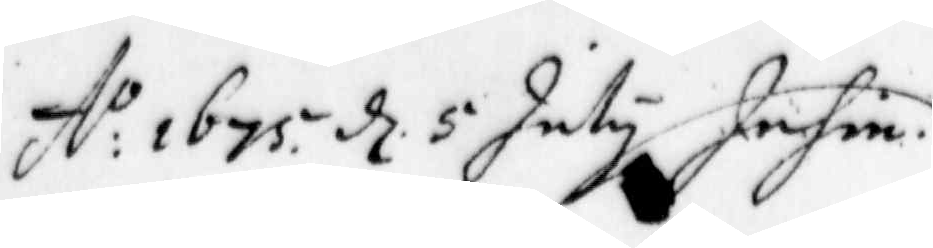A:o 1675 d 5 July Infin.
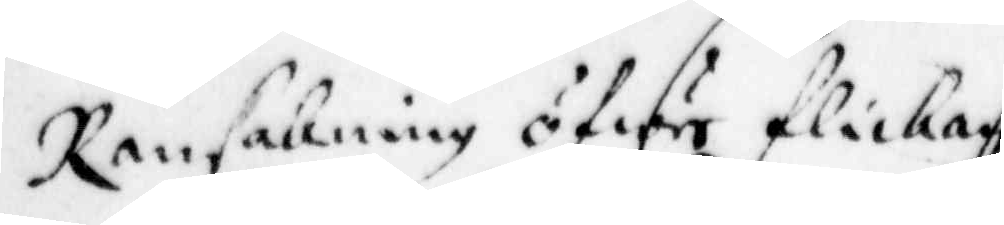Ransakning öfwer flickan
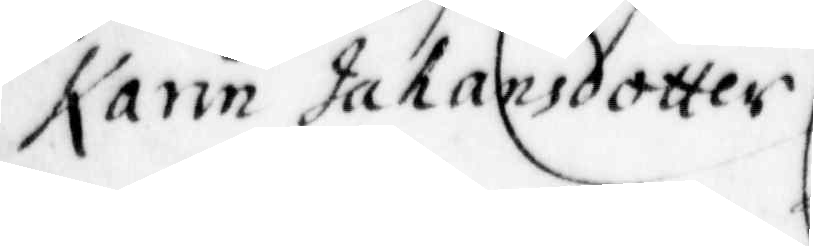Karin Johansdotter.
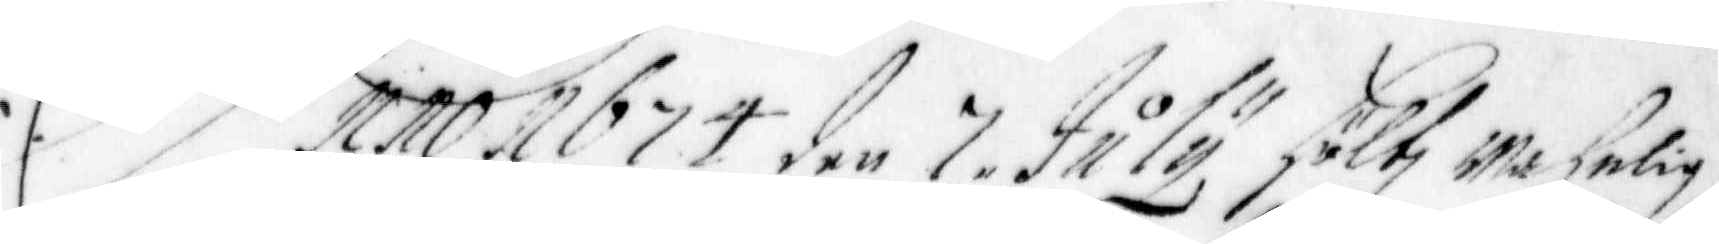Anno 1674 den 7 July höltz wahnlig
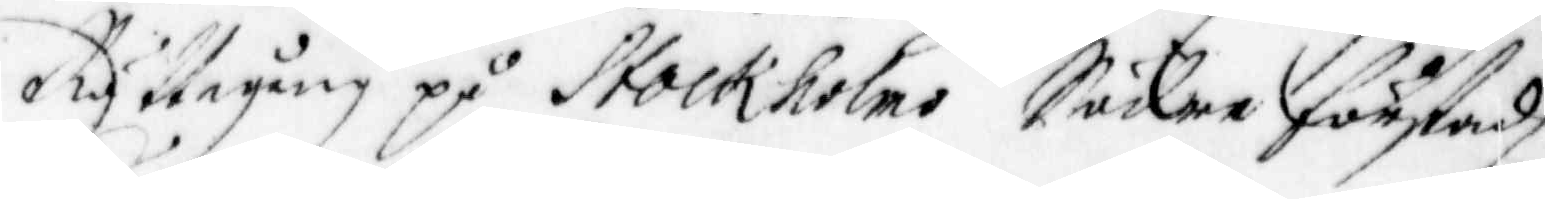Rättegång på Stockholms Södra förstadz
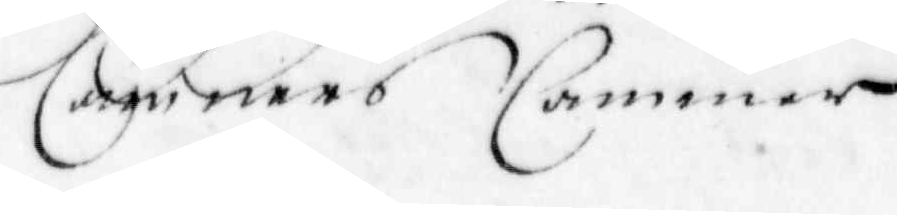Cämners Cammar
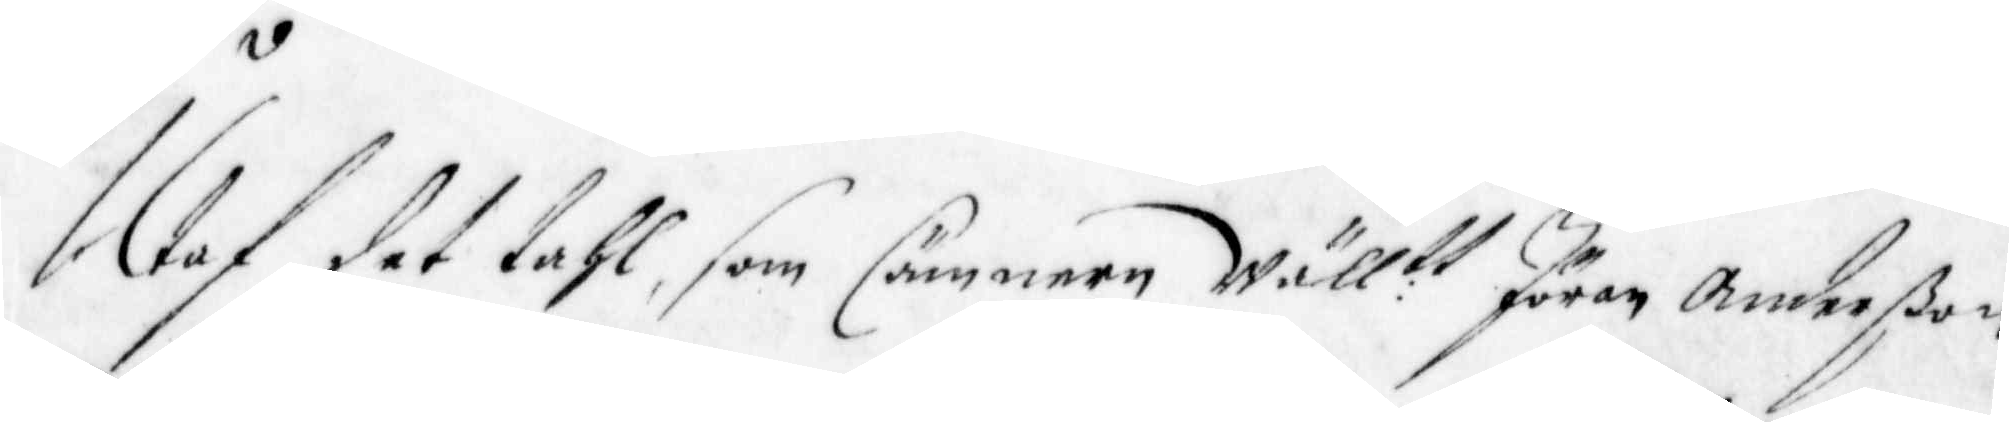Utaf det tahl, som Cämnern Wäll: tt Jöran Anderßon
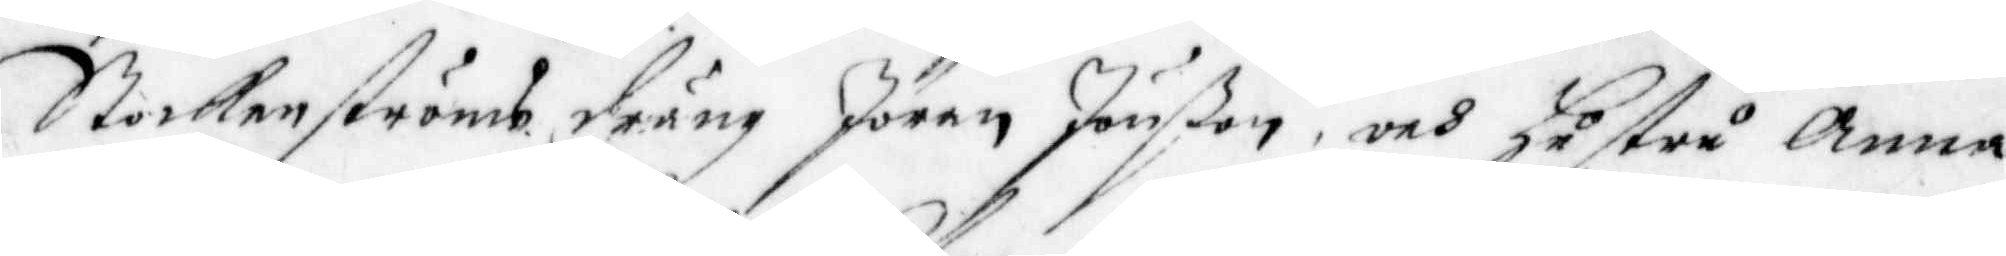Stockenströms dräng Jöran Jönßon, och hustru Anna
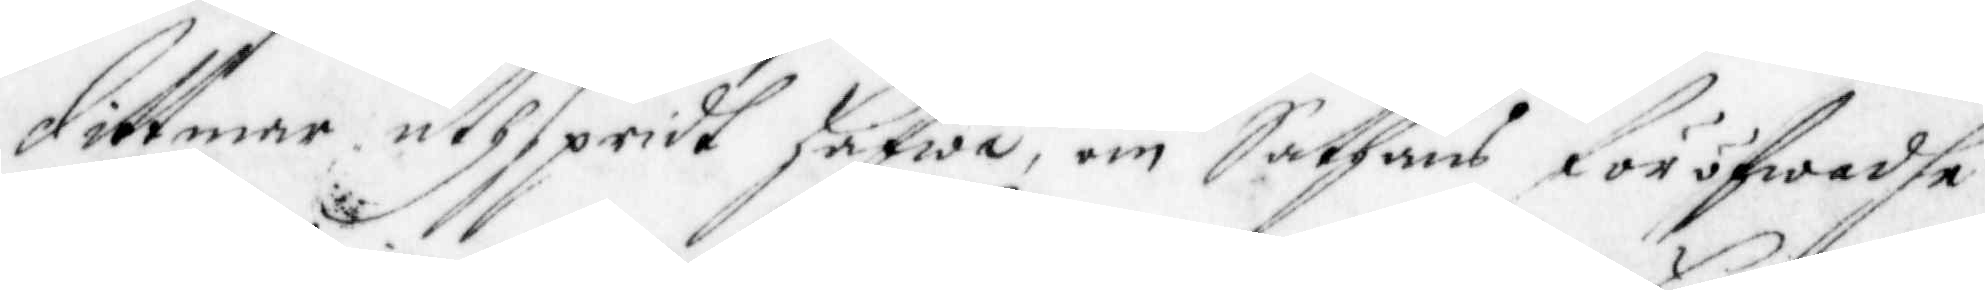Dittmar uthspridt hafwa, om Sathans föröfwadhe
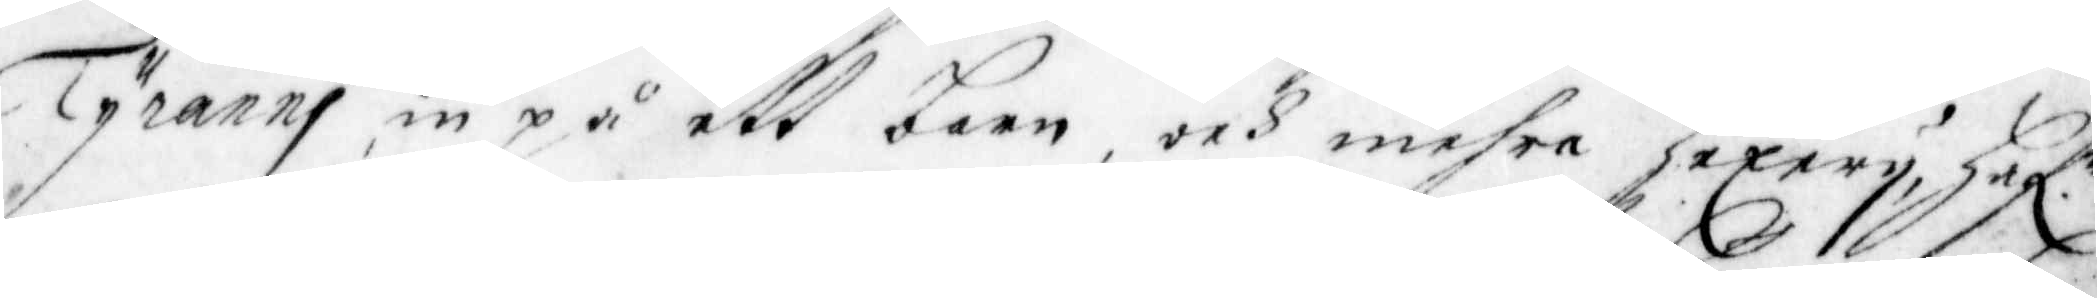Tyranni, in på ett barn, och mehra Hexery, Haf.r
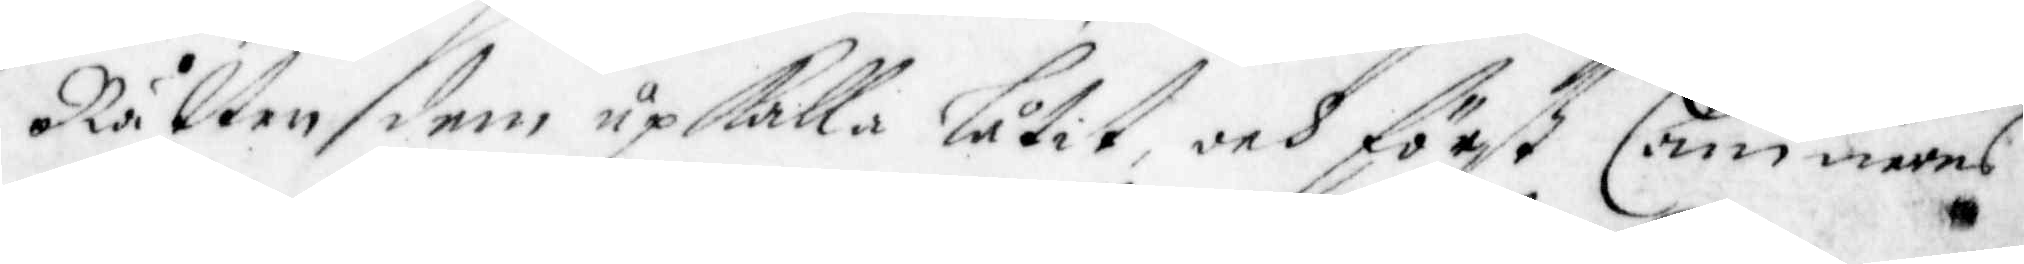Rätten dem upkalla låtit, och först Cämnerns
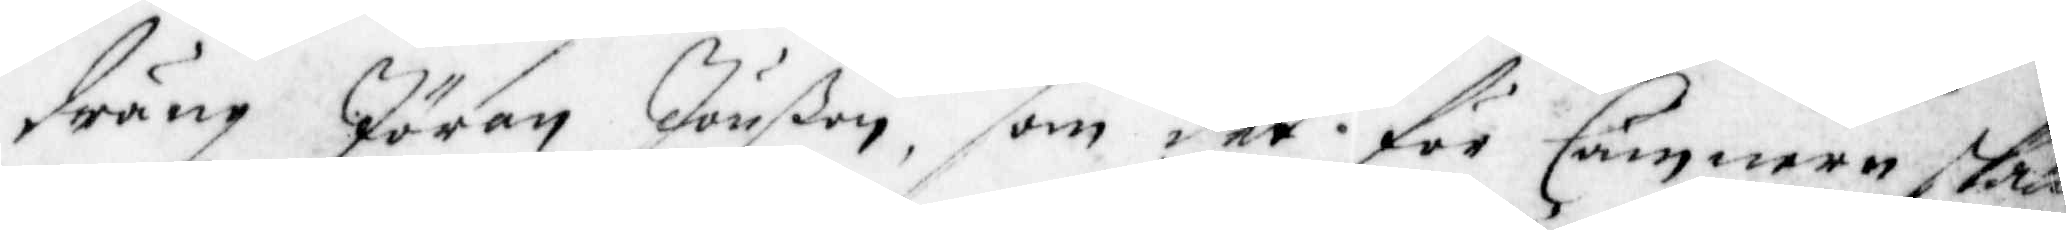dräng Jöran Jönßon, som det för Cämnern skall
